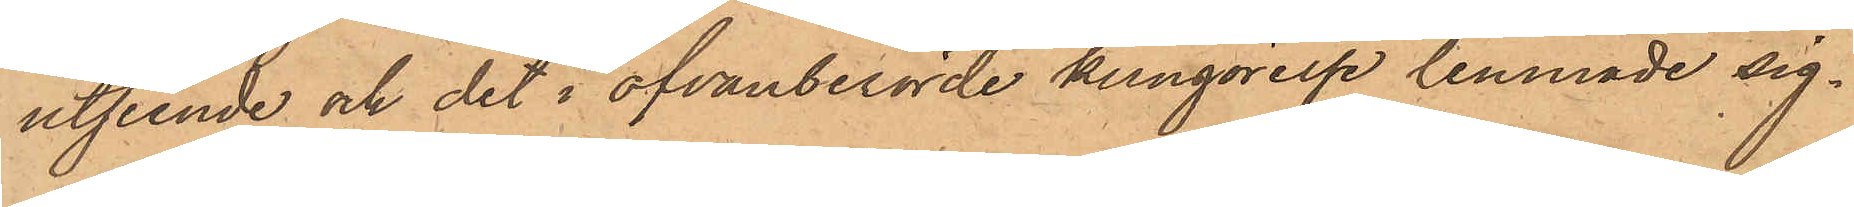utseende och det i ofvanberörde kungörelse lemnade sig¬
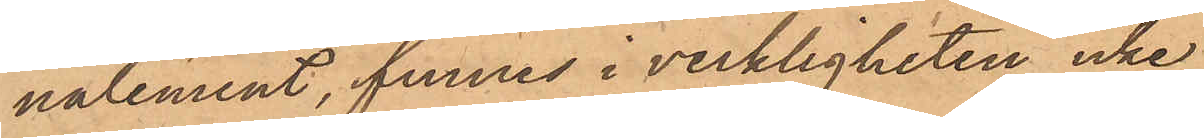nalement, funnes i verkligheten icke.
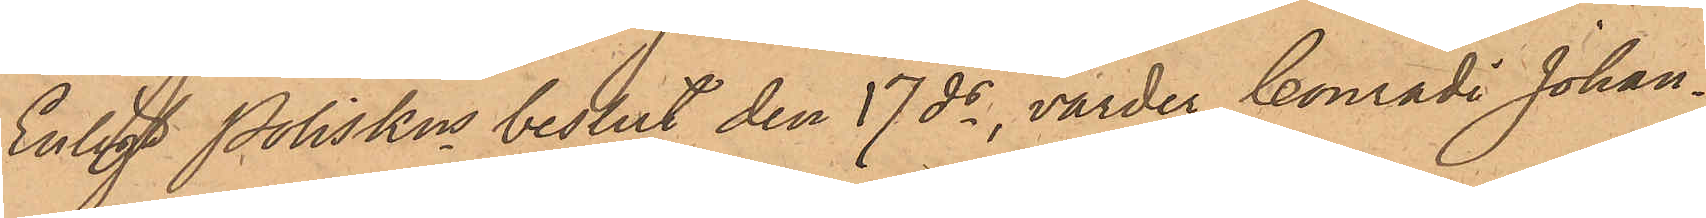Enligt Poliskns beslut den 17 ds, varder Conradi Johan¬
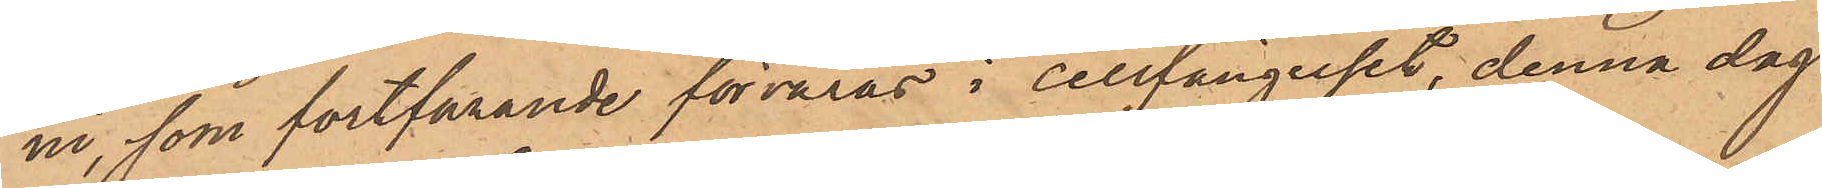ni, som fortfarande förvaras i cellfängelset, denna dag
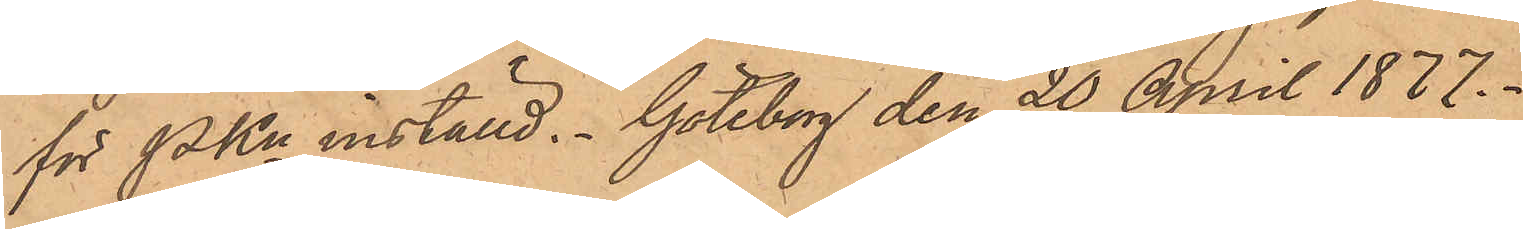för PKn inställd. Göteborg den 20 April 1877.
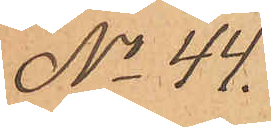No 44.
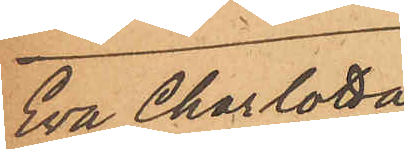Eva Charlotta
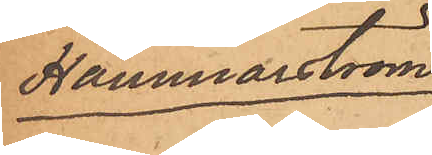Hammarström.
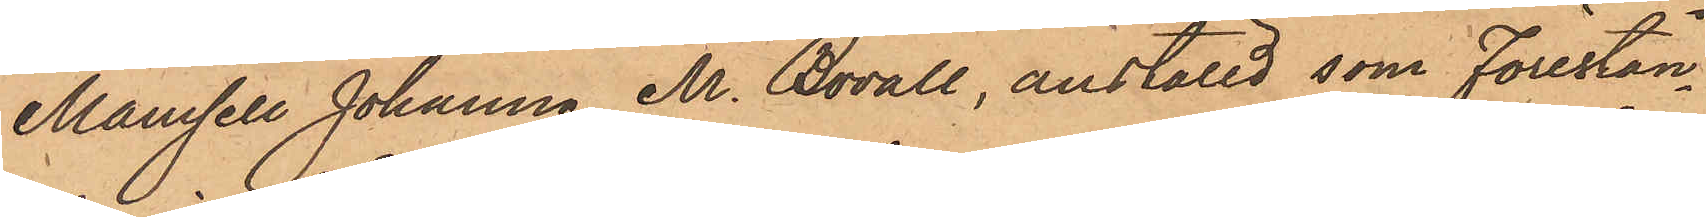Mamsell Johanna M. Bovall, anställd, som förestån¬
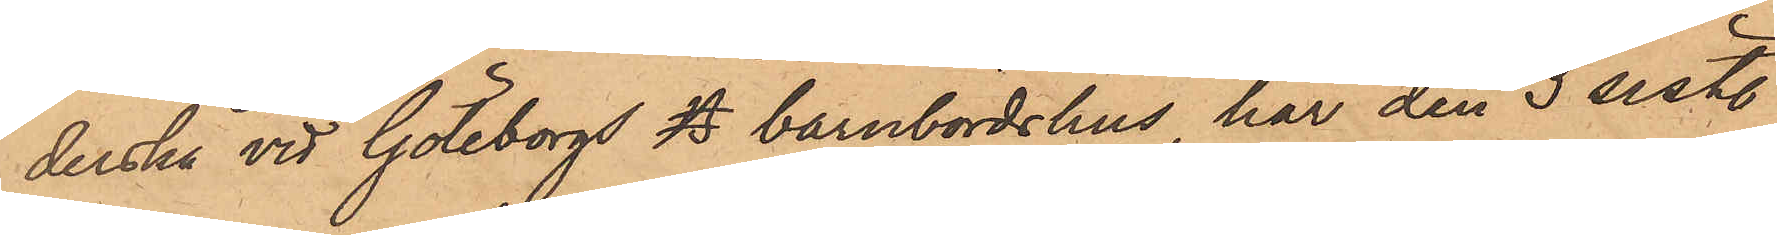derska vid Göteborgs B barnbördshus, har den 3 sistl.
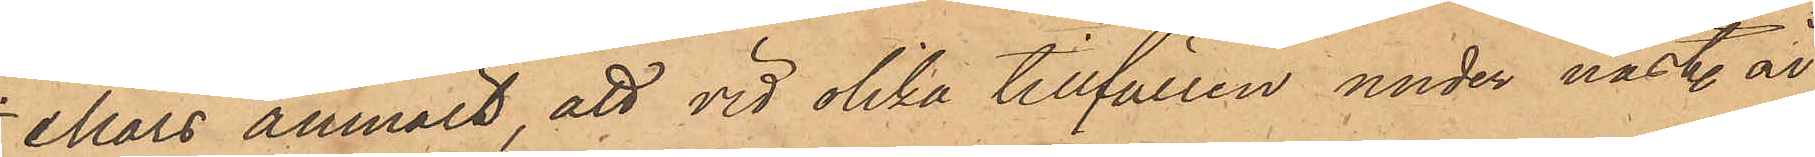Mars anmält, att vid olika tillfällen under näst. år
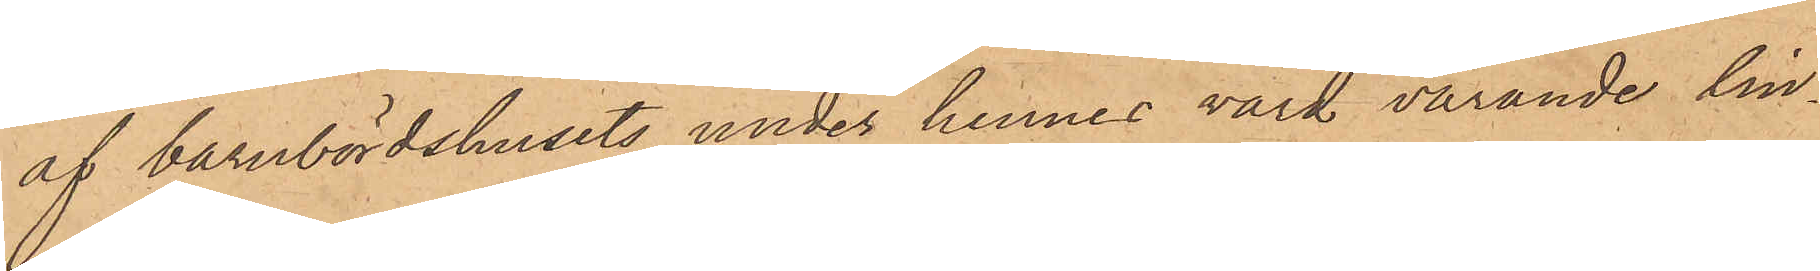af barnbördshusets under hennes vård varande lin¬
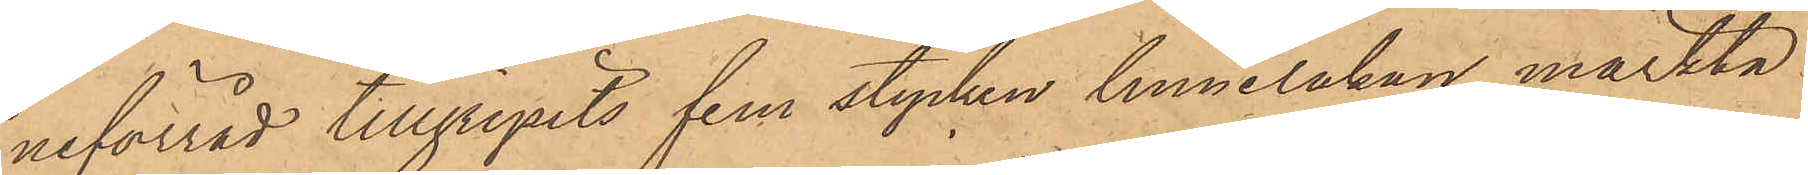neförråd tillgripits fem stycken linnelakan, märkta
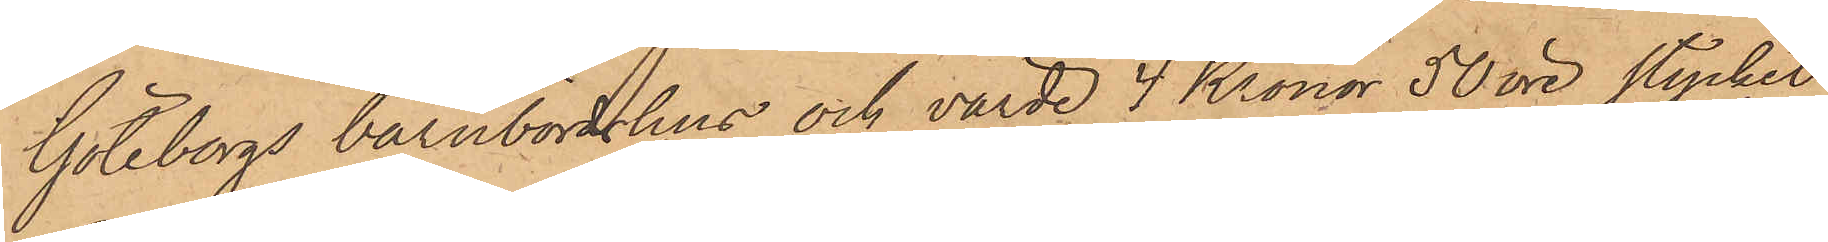Göteborgs barnbördshus och värde 4 Kronor 50 öre stycket
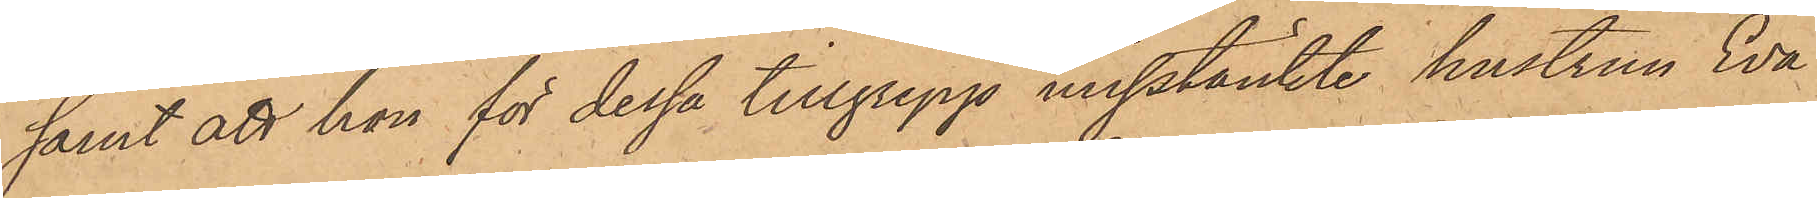samt att hon för dessa tillgrepp misstänkte hustrun Eva
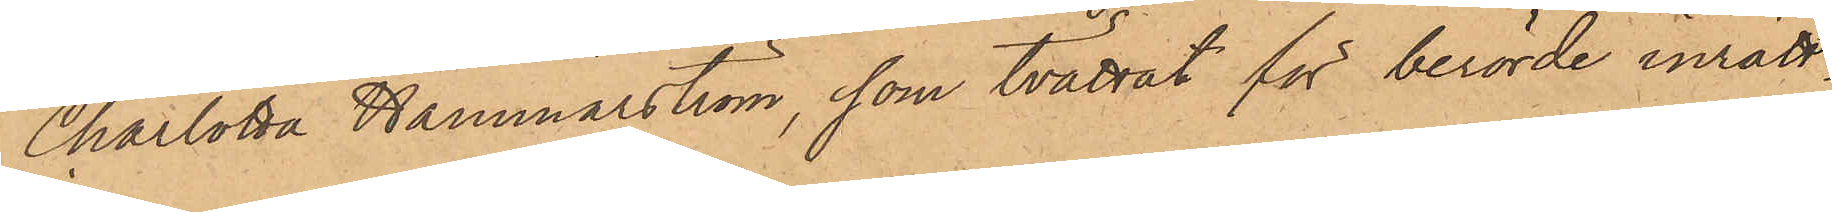Charlotta Hammarström, som tvättat för berörde inrätt¬
